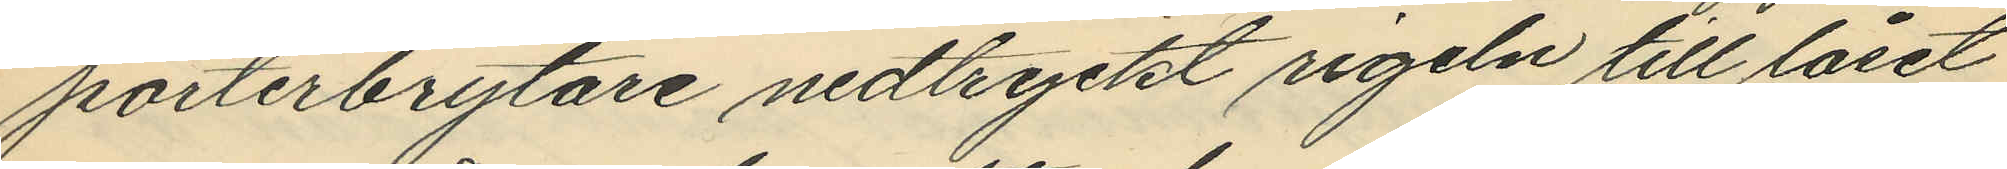porterbrytare nedtryckt rigeln till låset
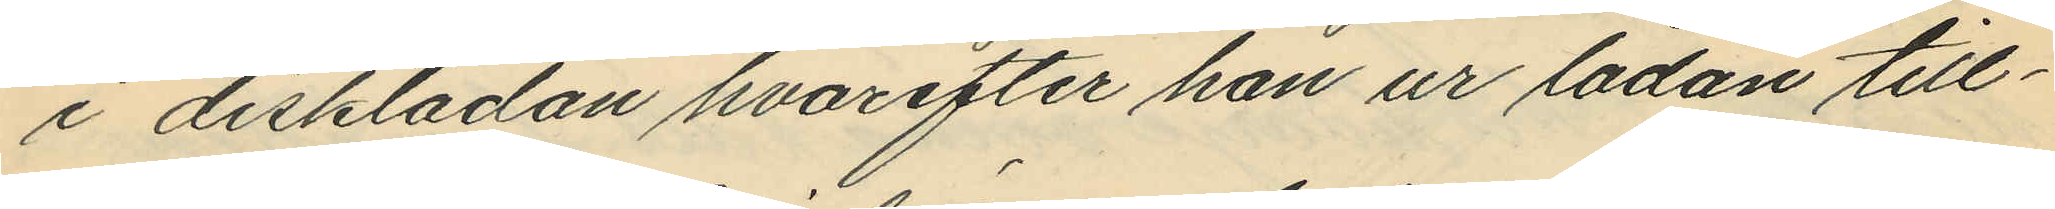i disklådan hvarefter han ur lådan till¬
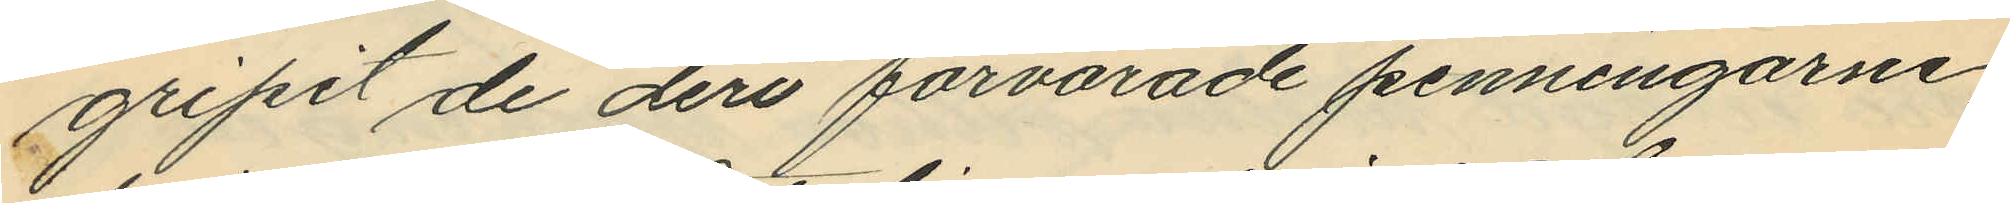gripit de deri förvarade penningarne,
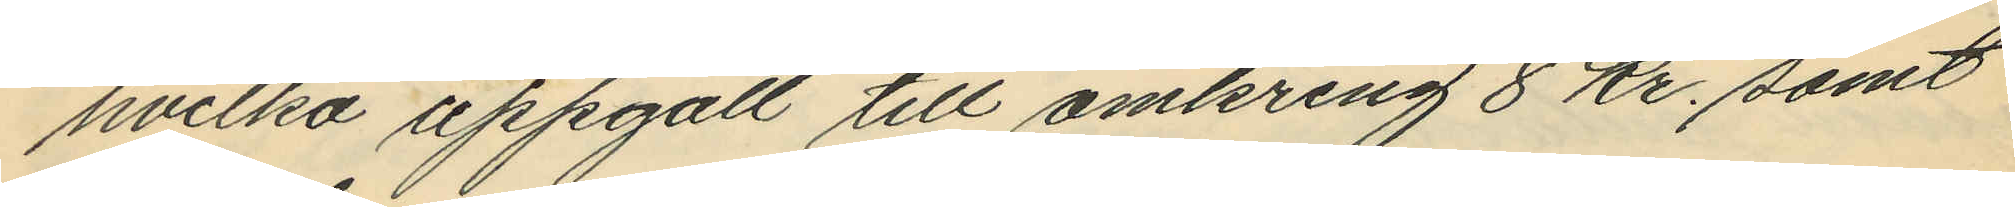hvilka uppgått till omkring 8 Kr., samt
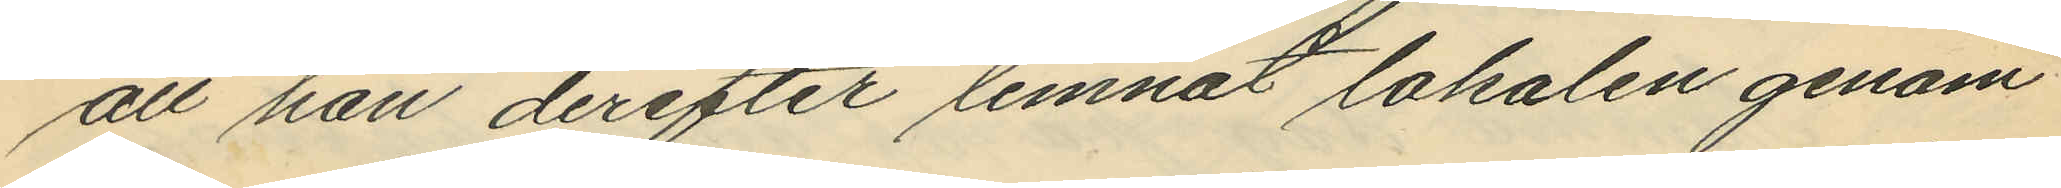att han derefter lemnat lokalen genom
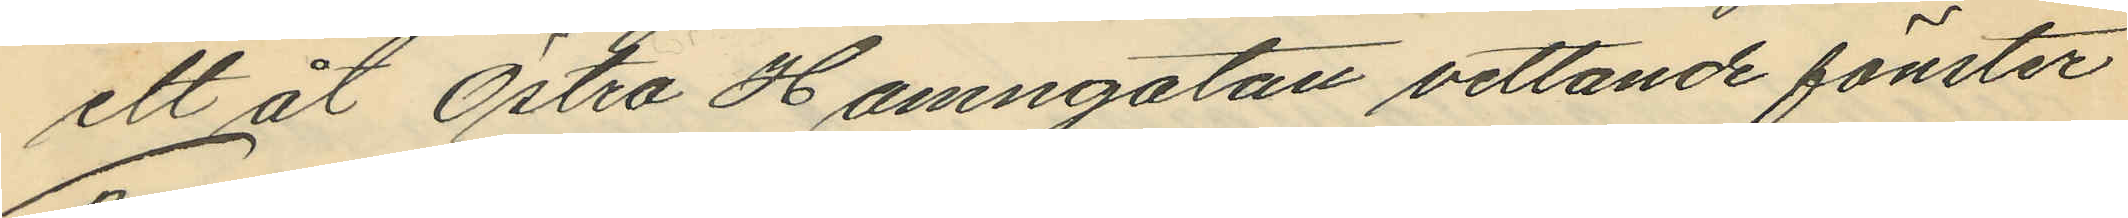ett åt Östra Hamngatan vettande fönster
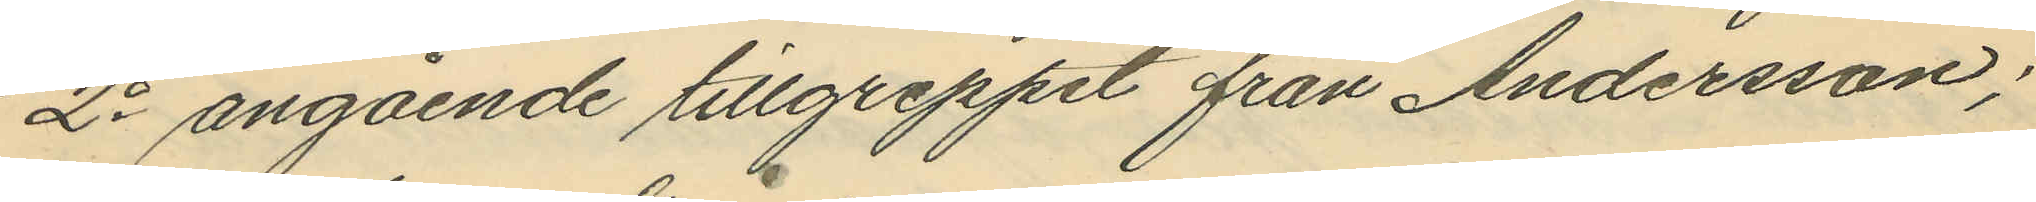2o angående tillgreppet från Andersson;
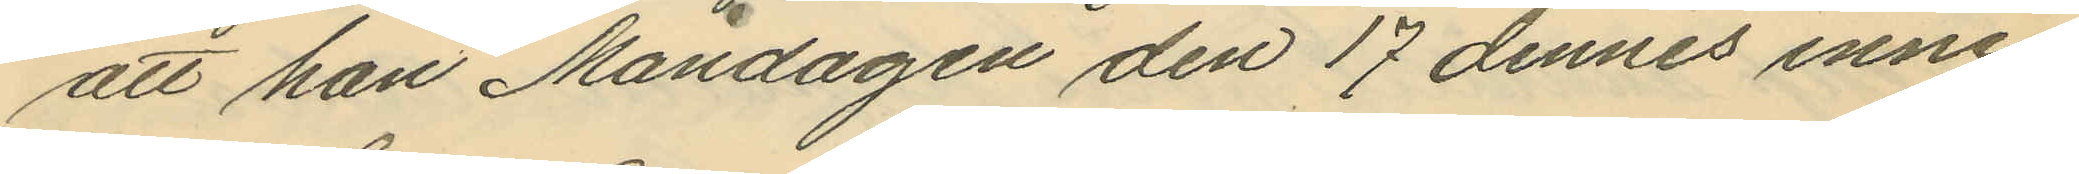att han Måndagen den 17 dennes inne¬
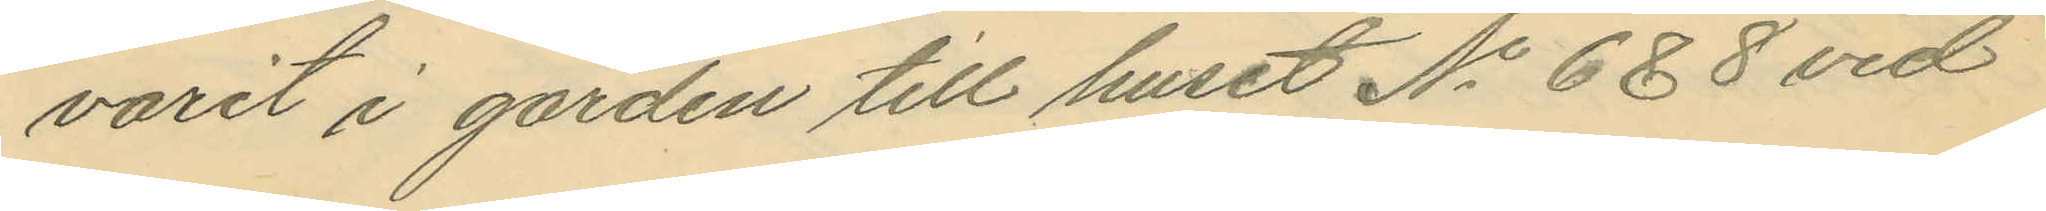varit i gården till huset No 6 & 8 vid
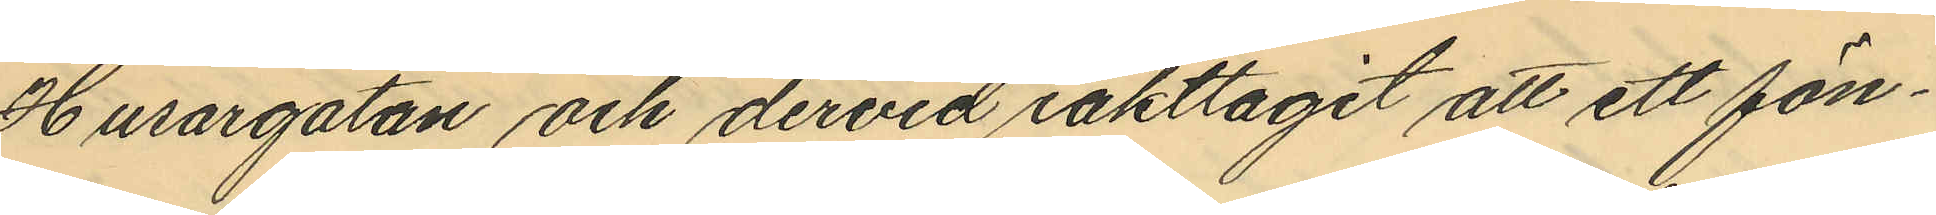Husargatan och dervid iakttagit att ett fön¬
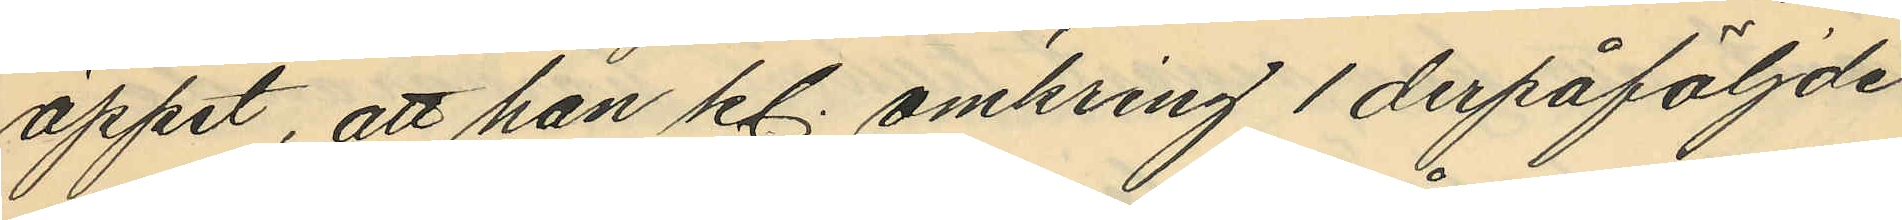öppet, att han kl. omkring 1 derpåföljde
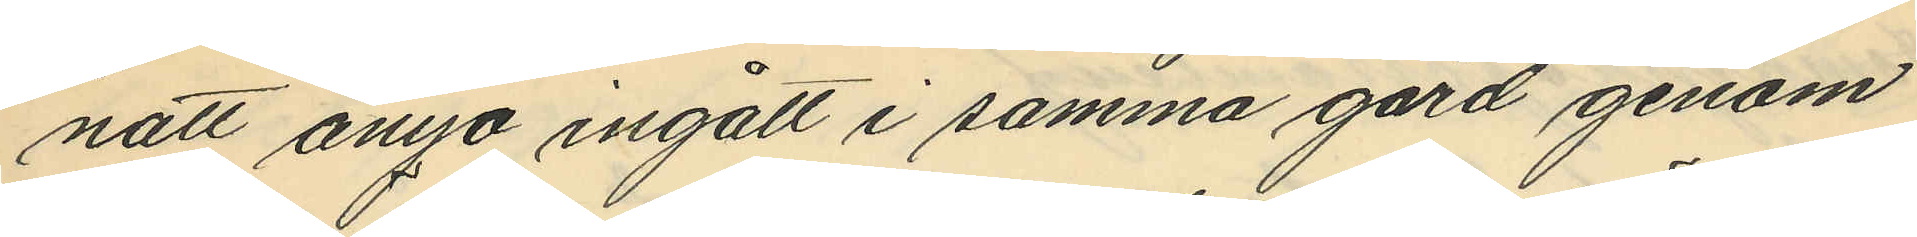natt ånyo ingått i samma gård genom
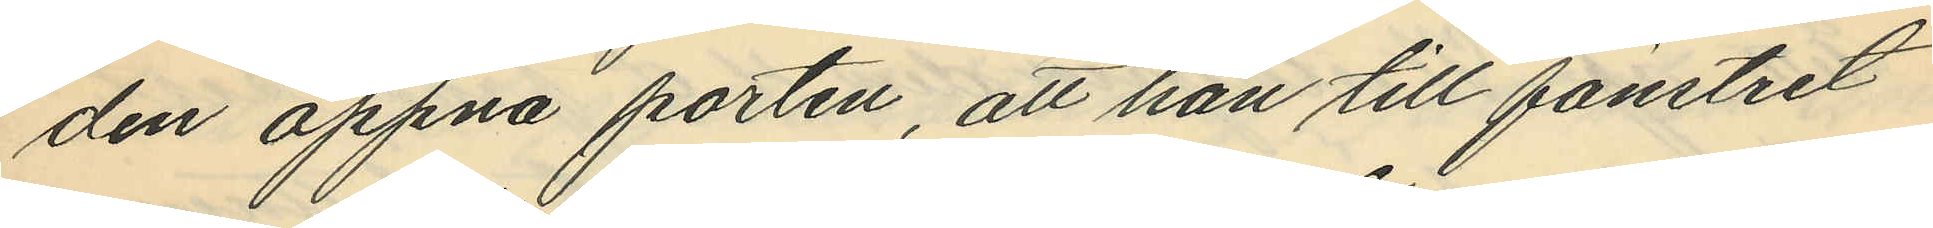den öppna porten, att han till fönstret
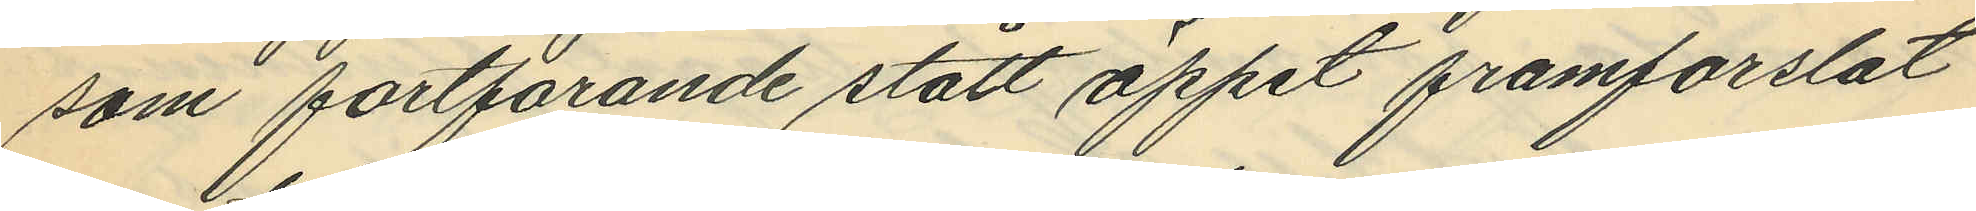som fortfarande stått öppet framforslat
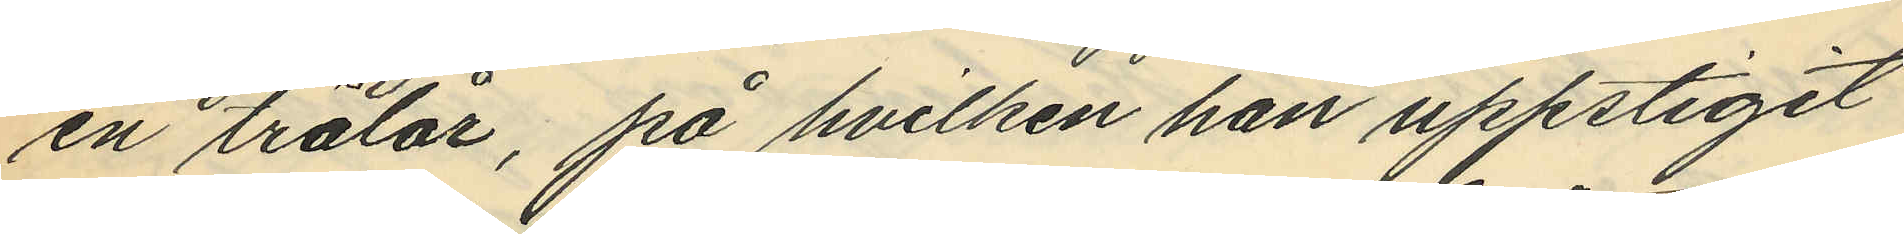en trälår, på hvilken han uppstigit
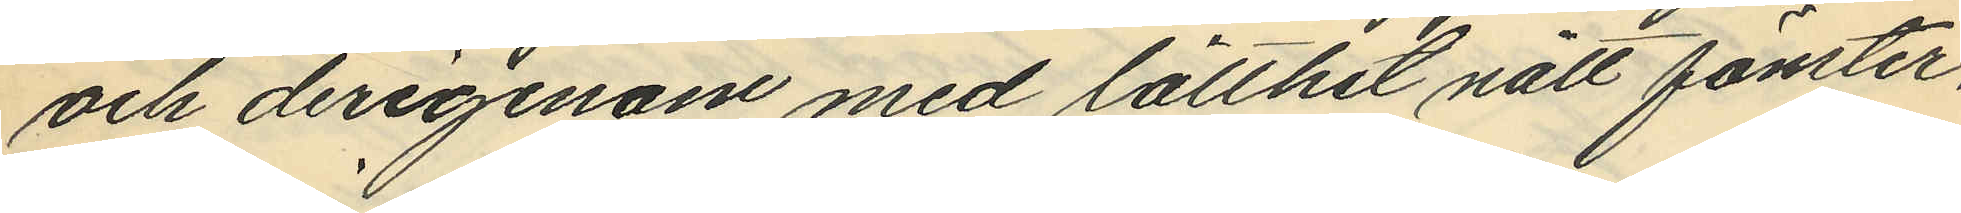och derigenom med lätthet nått fönster¬
